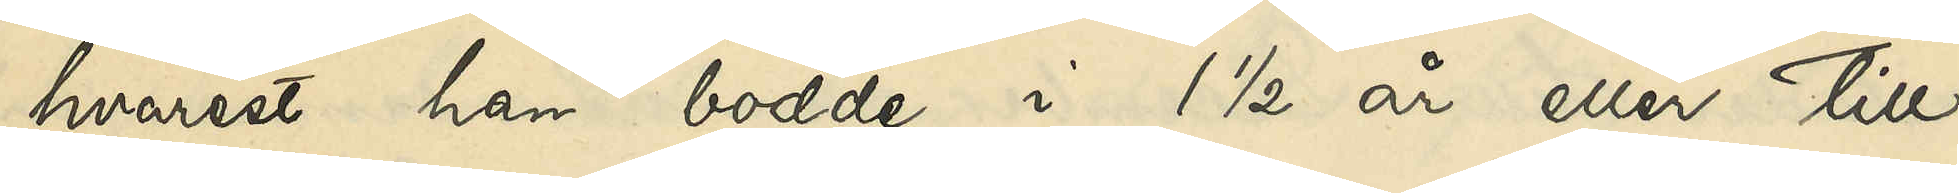hvarest han bodde i 1 ½ år eller till
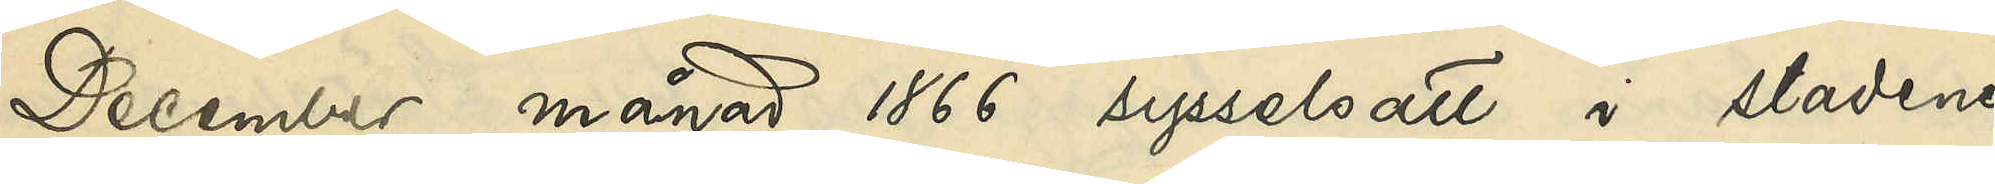December månad 1866 sysselsatt i stadens
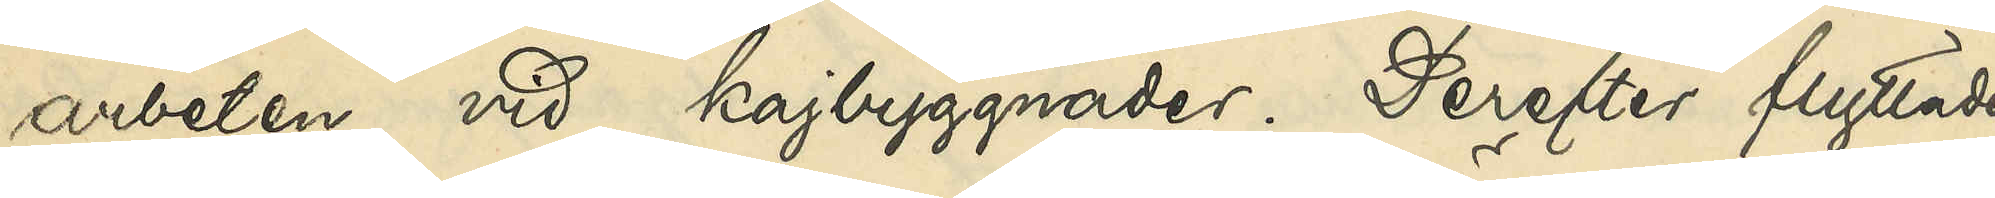arbeten vid kajbyggnader. Derefter flyttade
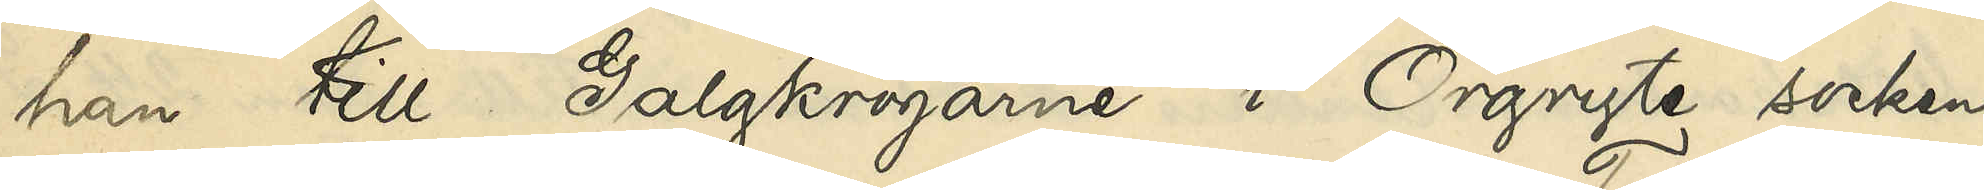han till Galgkrogarne i Örgryte socken,
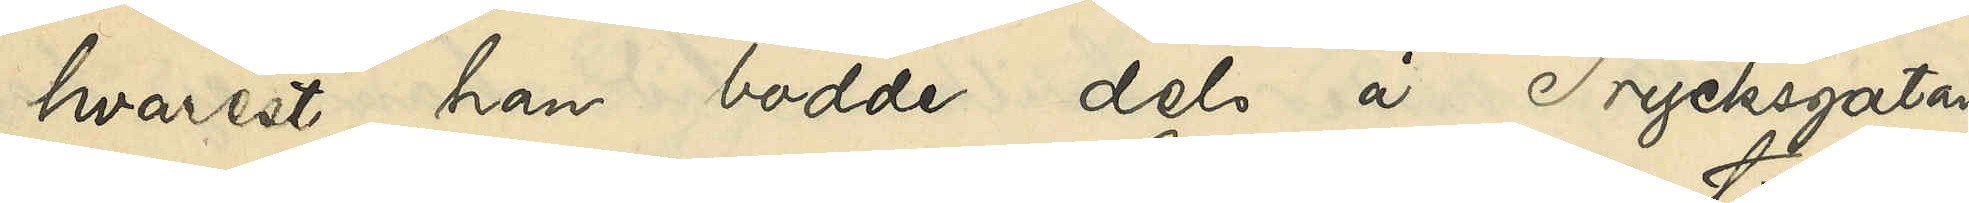hvarest han bodde dels å Trycksgatan
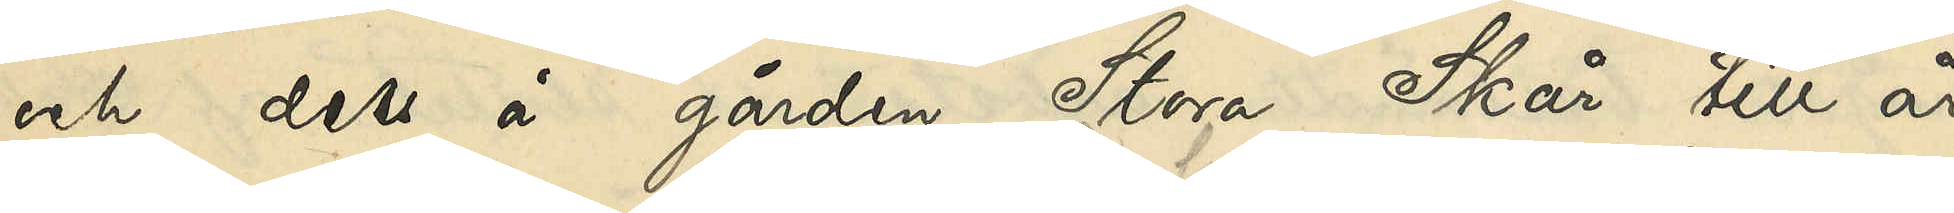och dels å gården Stora Skår till år
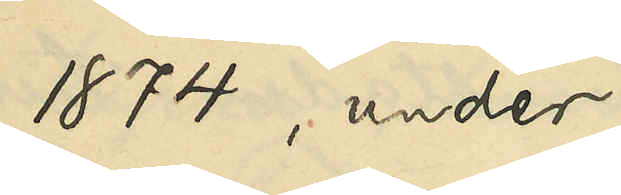1874, under
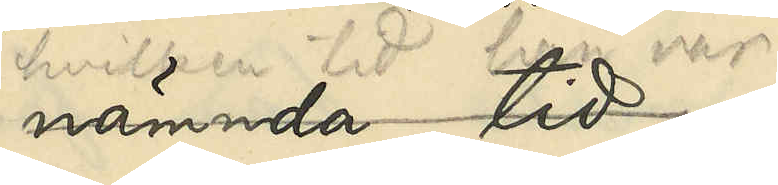hvilken tid han var 
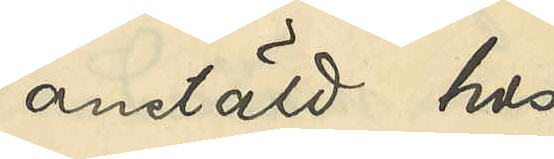anstäld hos
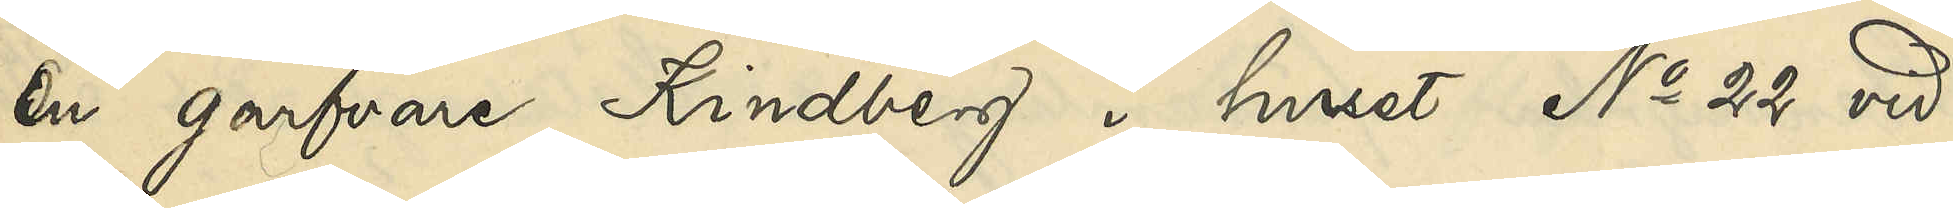en garfvare Kindberg i huset No 22 vid
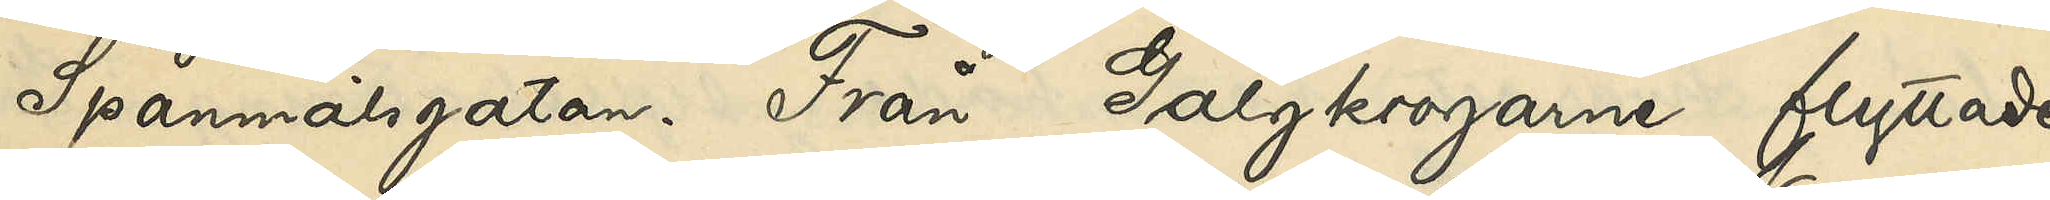Spannmålsgatan. Från Galgkrogarne flyttade
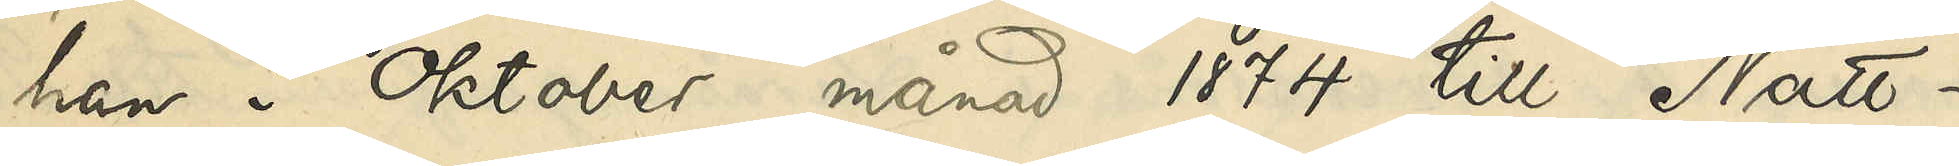han i Oktober månad 1874 till Natt¬
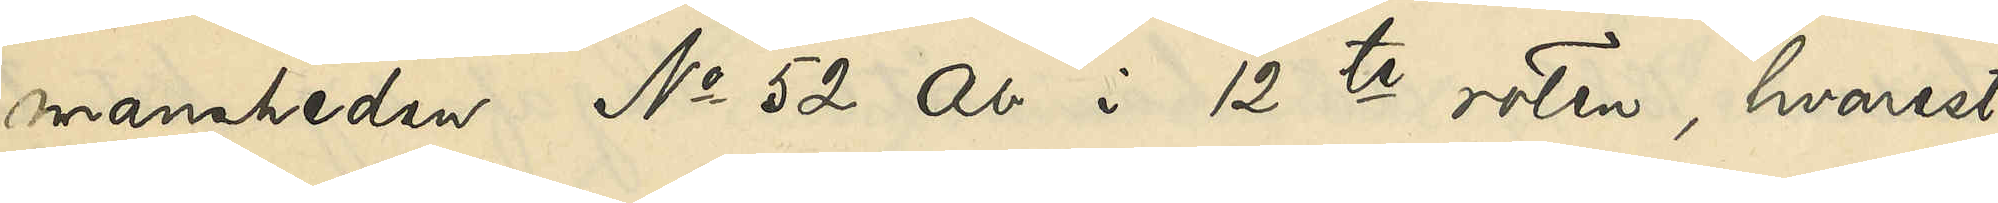mansheden No 52 Ab i 12te roten, hvarest
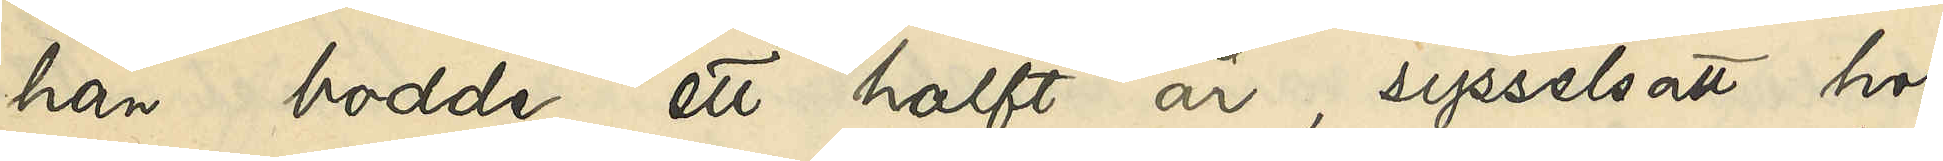han bodde ett halft år, sysselsatt hos
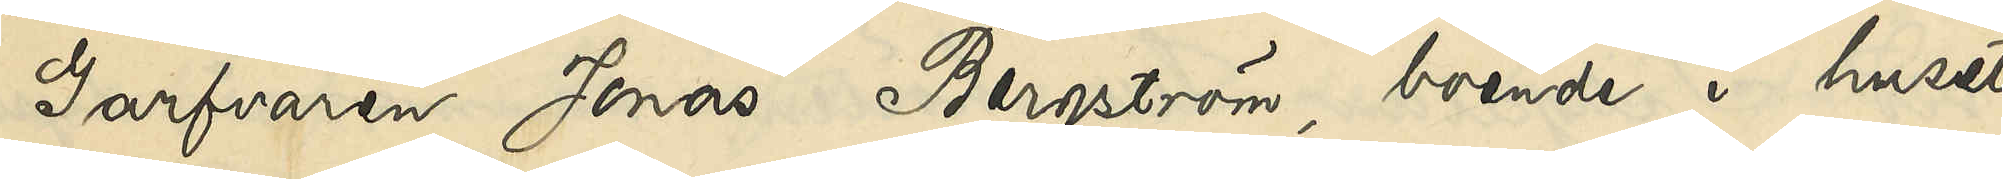Garfvaren Jonas Bergström, boende i huset
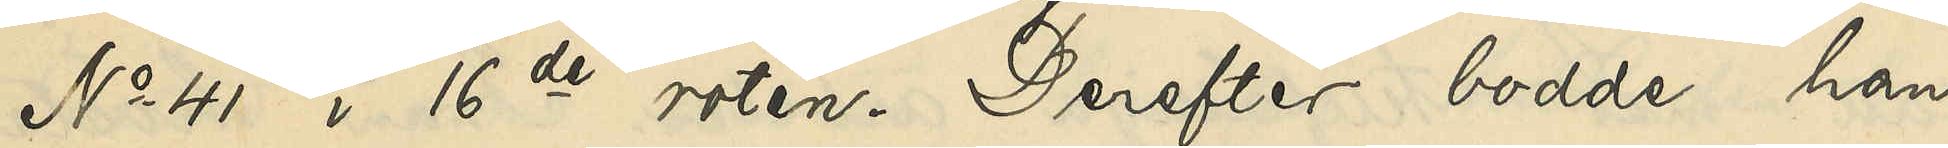No 41 i 16de roten. Derefter bodde han
